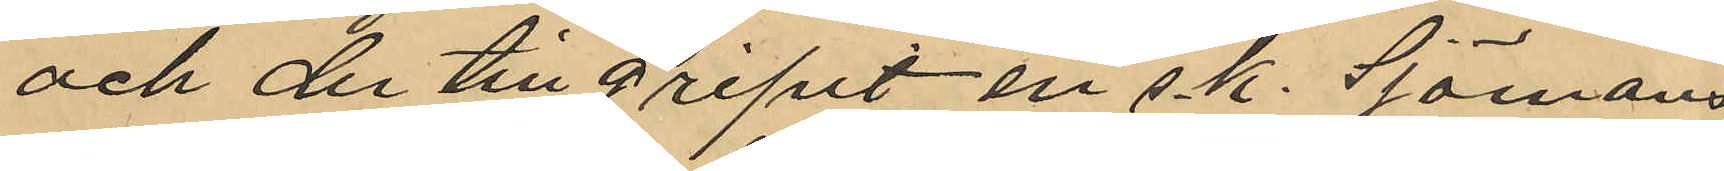och der tillgripit en sk. Sjömans¬
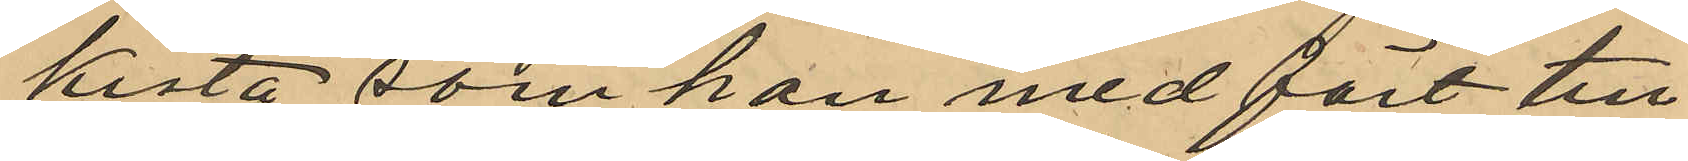kista som han medfört till
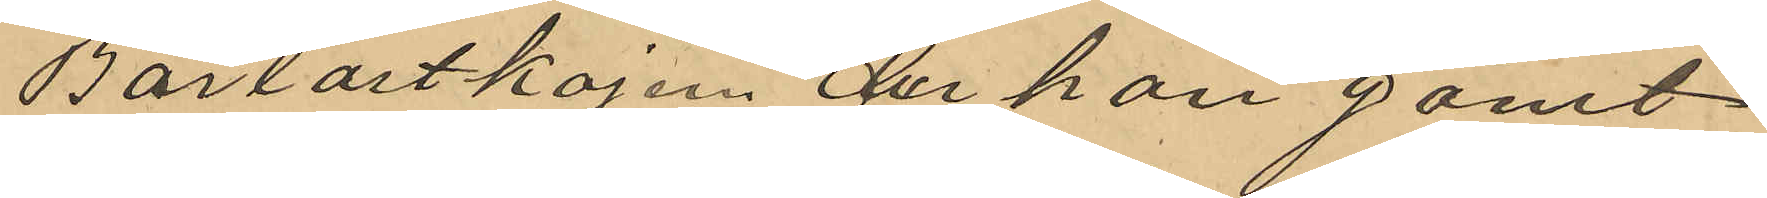Barlastkajen der han gömt
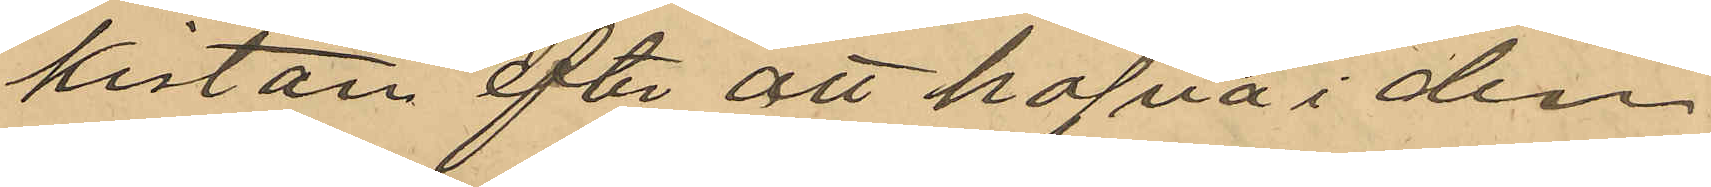kistan efter att hafva i den¬
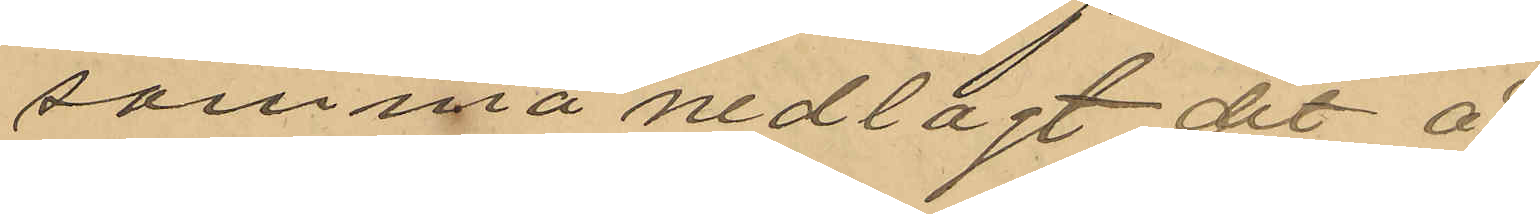samma nedlagt det å
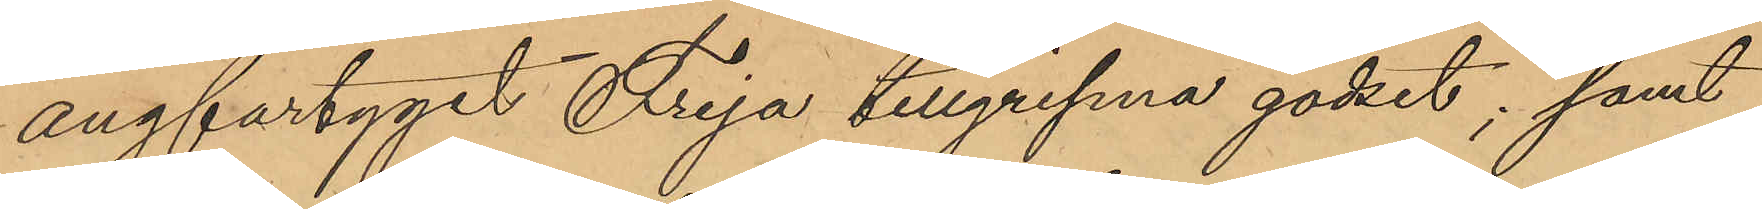ångfartyget Freja tillgripna godset; samt
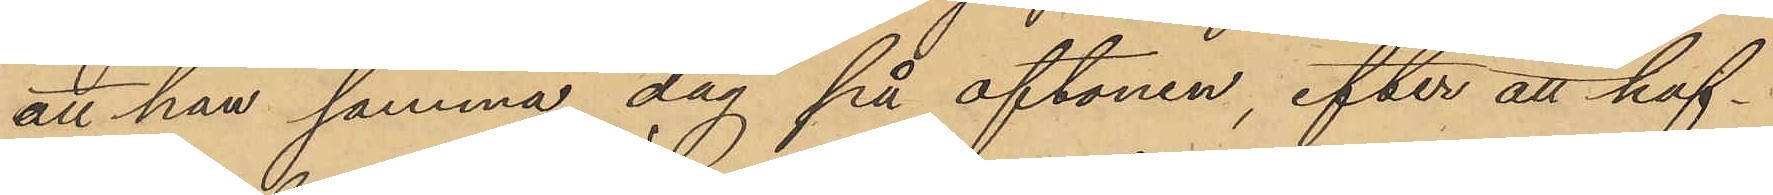att han samma dag på aftonen, efter att haf¬
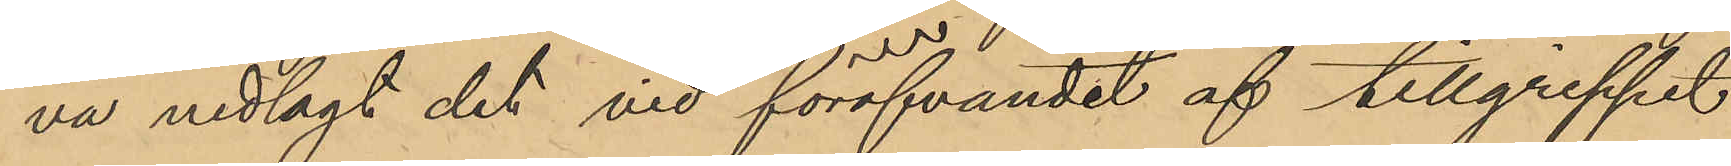va nedlagt det vid föröfvandet af tillgreppet
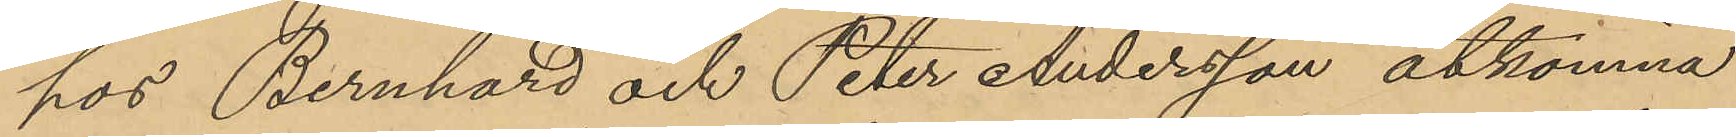hos Bernhard och Peter Andersson åtkomna
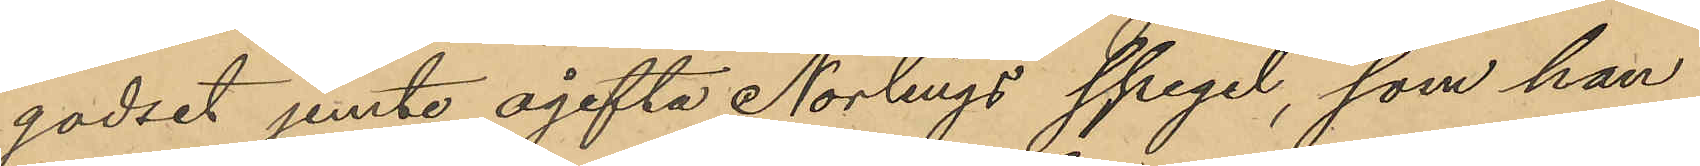godset jemte ogifta Norlings spegel, som han
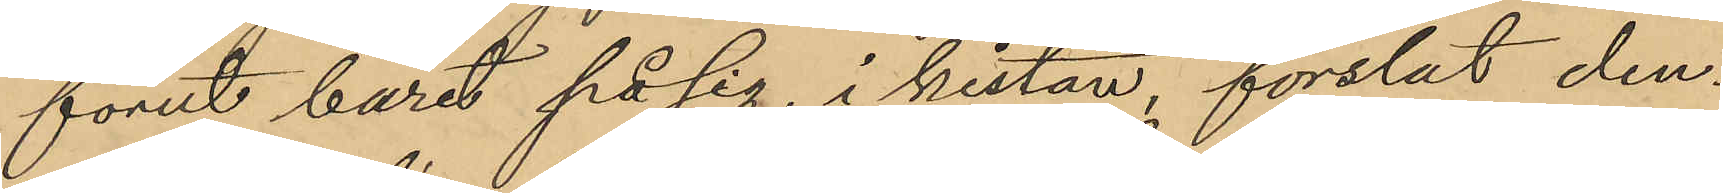förut burit på sig, i kistan, forslat den¬
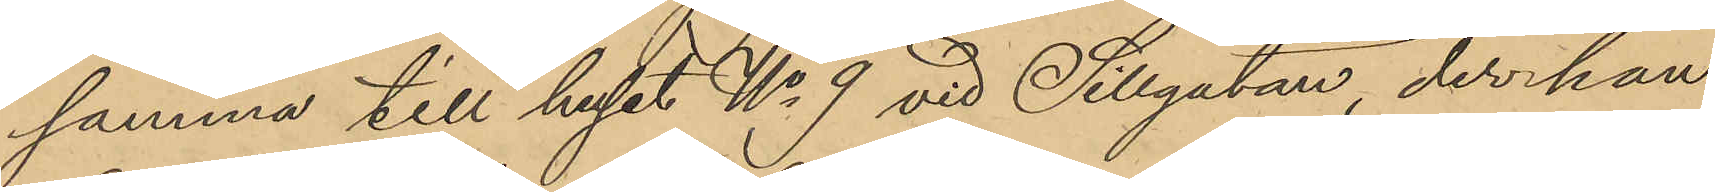samma till huset No 9 vid Sillgatan, der han
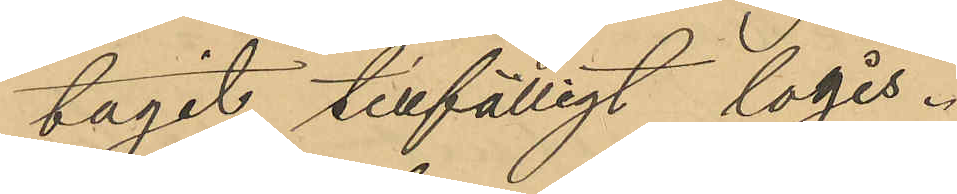tagit tillfälligt logis.
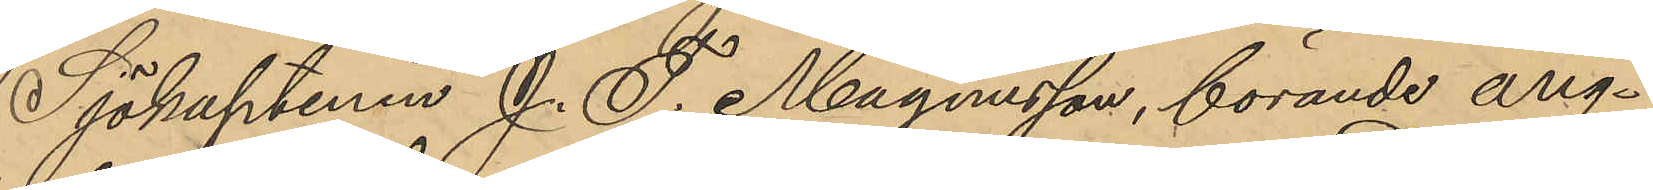Sjökaptenen J. F. Magnusson, förande ång¬
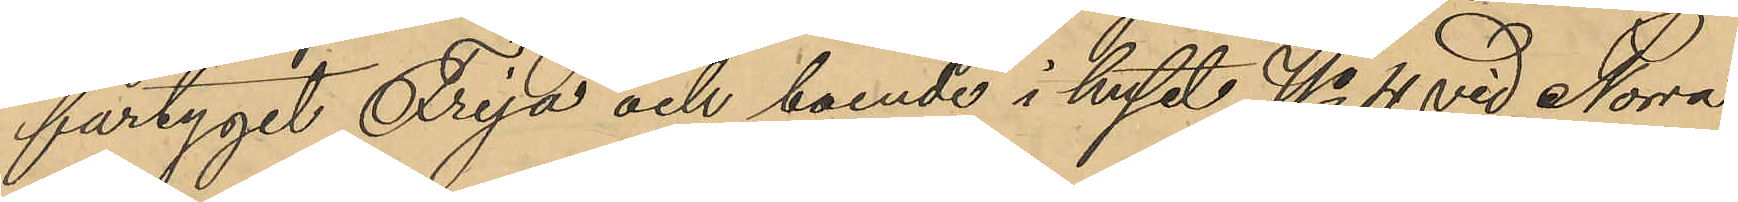fartyget Freja och boende i huset No 4 vid Norra
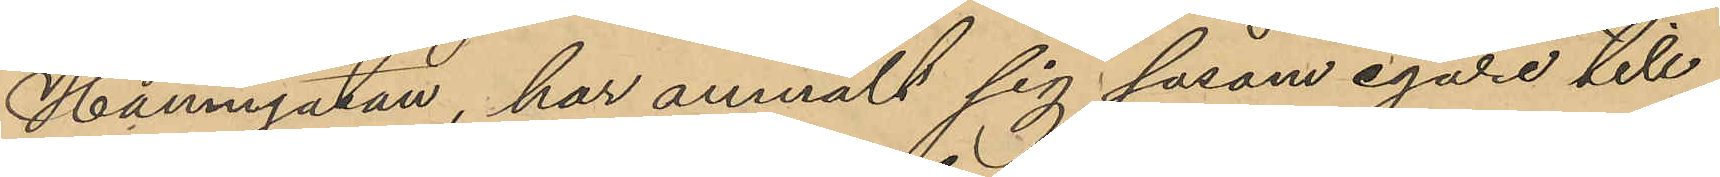Hamngatan har anmält sig såsom egare till
